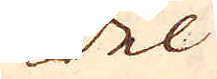del
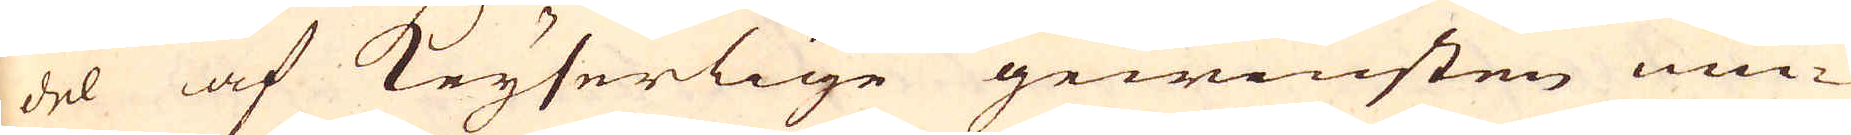del af Keyserlige gewinsten niu-
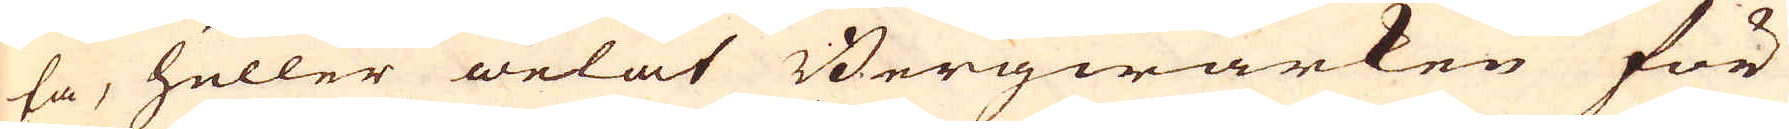ta, heller welat Bergwärken för
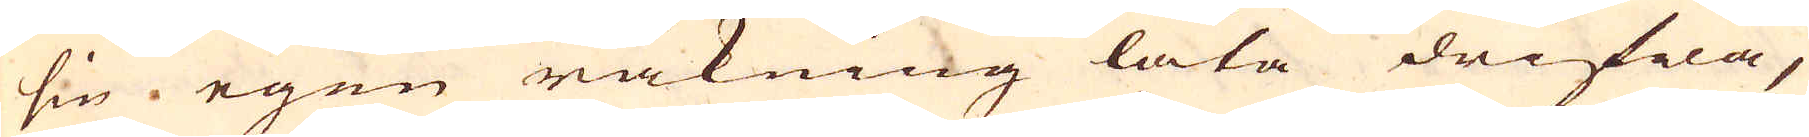sin egen räkning låta drifwa,
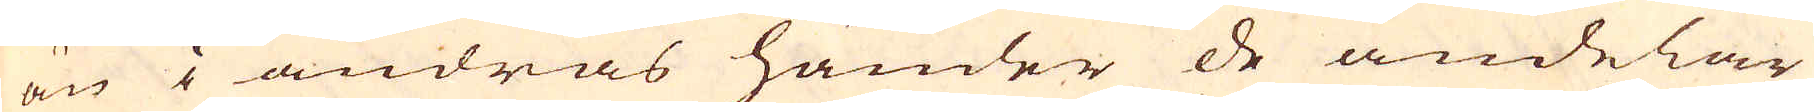än i andras händer de andelar
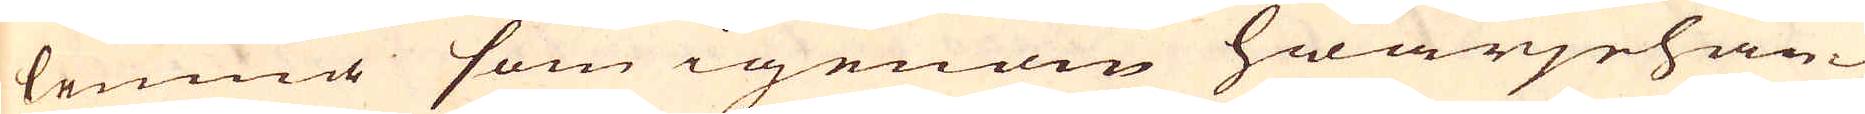lemna som igenom hwarjehan-
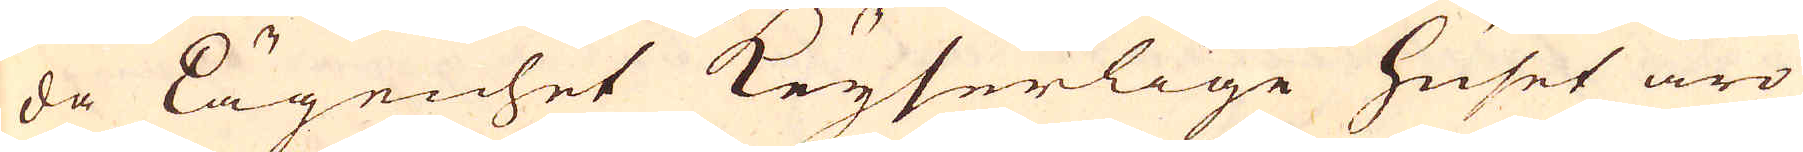da lägenhet Keyserlige huset äro
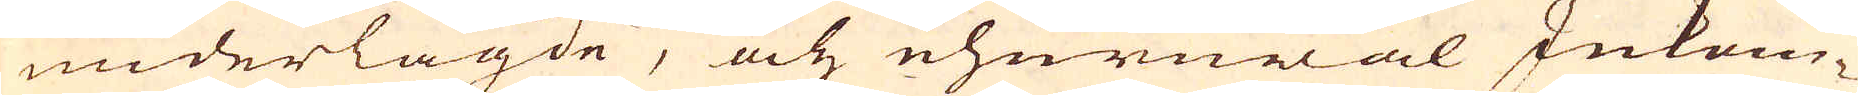underlagde, och ehuruwäl Inkom-
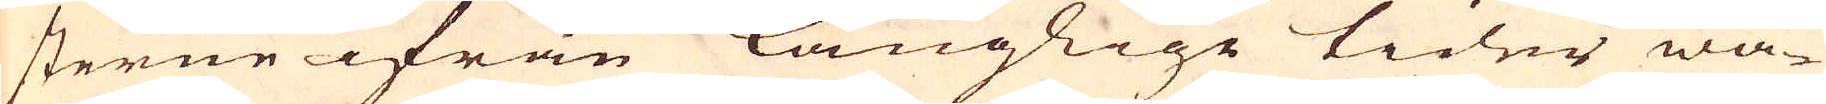sterne ifrån långlige tider wa-
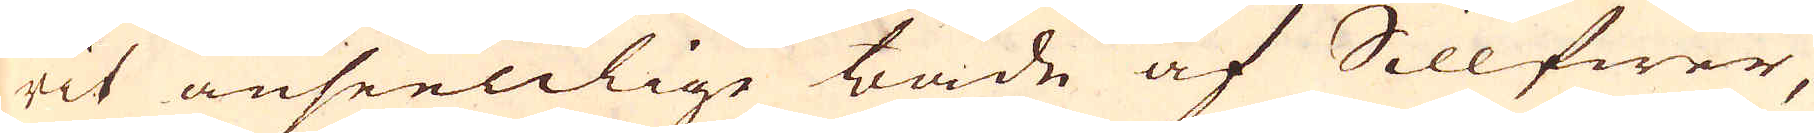rit anseenlige både af Sillfwer,
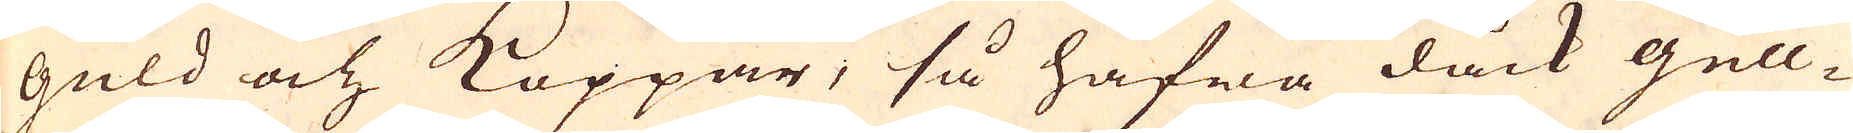guld och Koppar, så hafwa dåck gull-
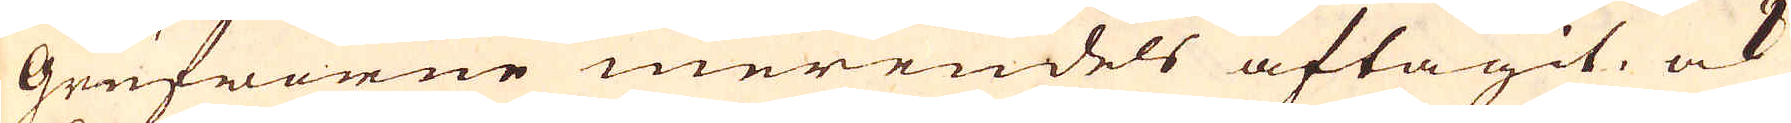Grufworne merendes aftagit, ock
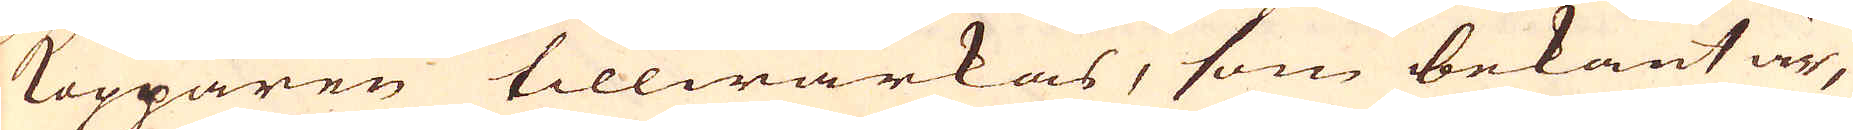Kopparen tillwärkas, som bekant är,
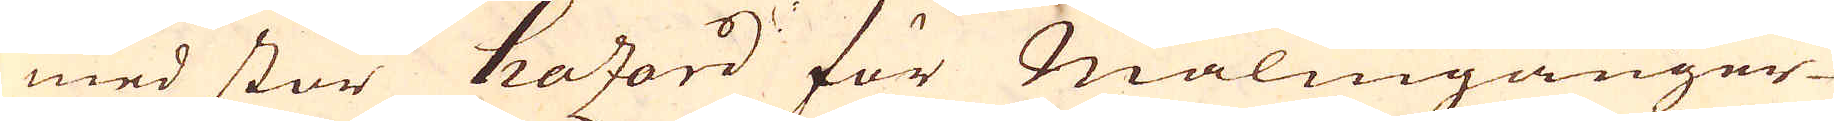med stor hazard för Malmgånger-
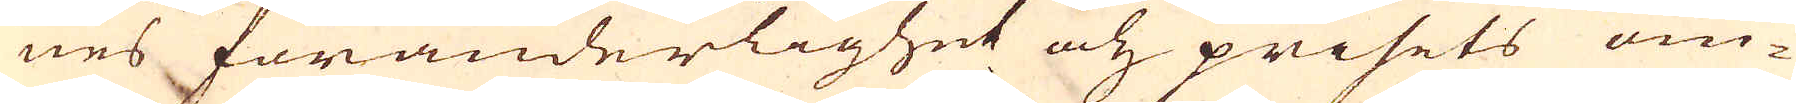nes föränderlighet och prisets om-
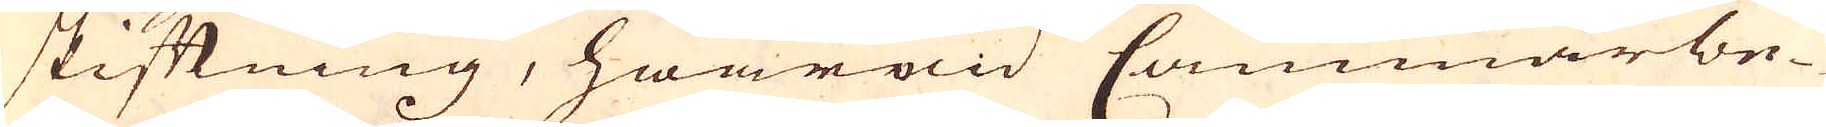skiftning, hwarwid Cammarbe-
